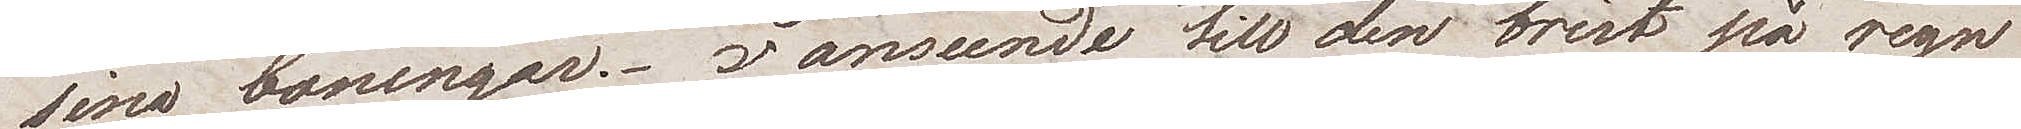sina boningar. I anseende till den brist på regn
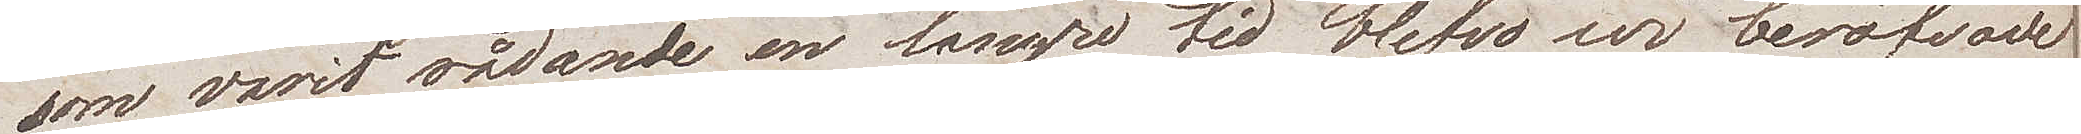som varit rådande en längre tid blefvo vi beröfvade
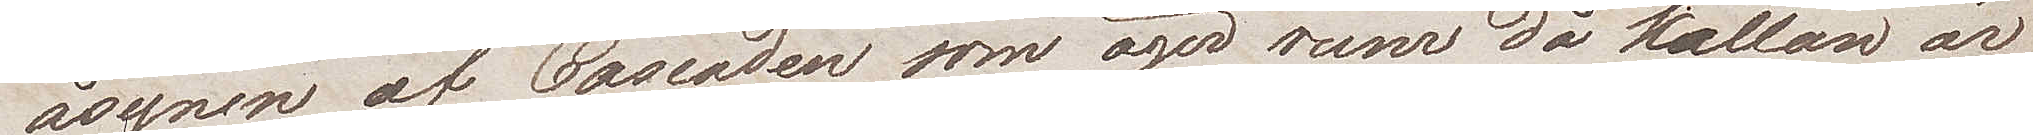åsynen af Cascaden som äger rum då källan är
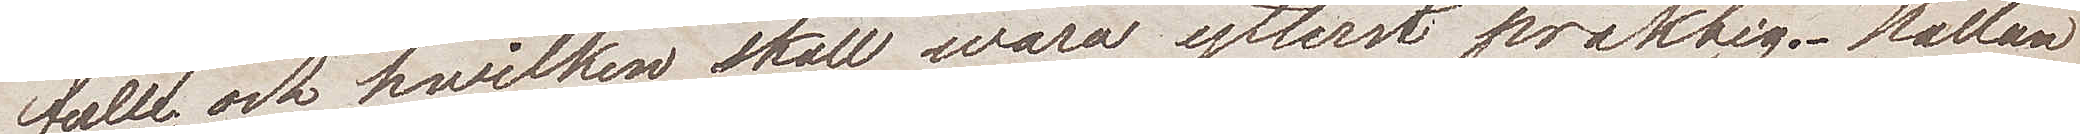full och hvilken skall wara yttterst präktig. Källan
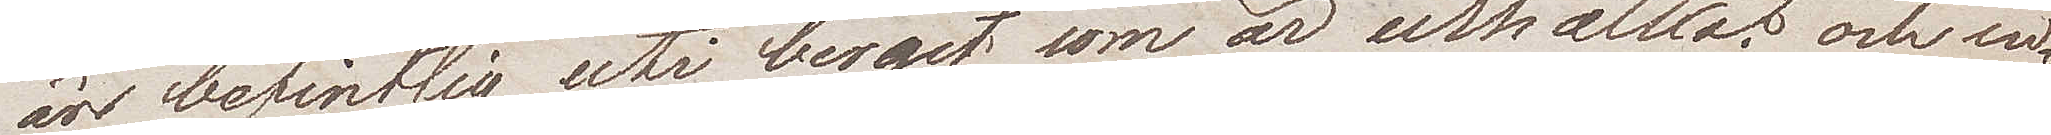äro befintlig uti berget som är urhålkat och in¬
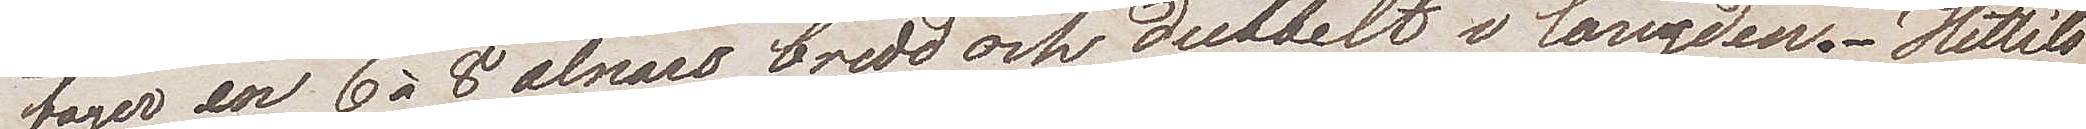tager en 6 à 8 alnars bredd och dubbelt i längden. Hittills
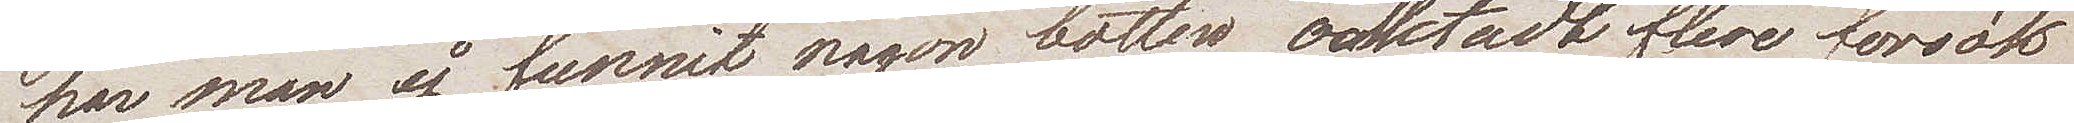har man ej funnit någon botten oaktadt flere försök
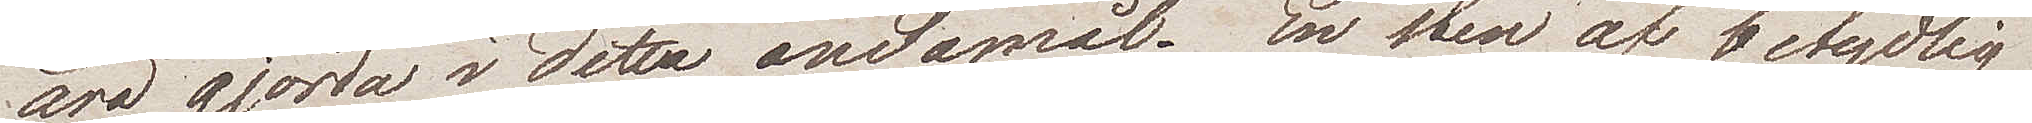äro gjorda i detta ändamål. En sten af betydlig
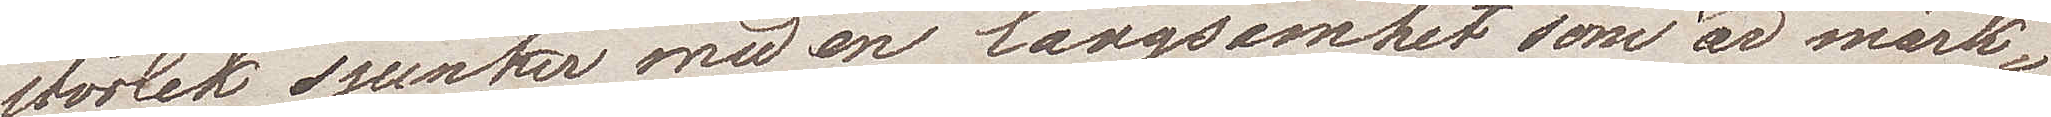storlek sjunker med en långsamhet som är märk¬
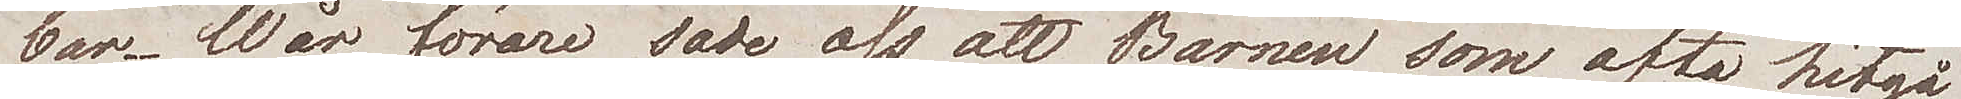bar. Våra förare sade oss att barnen som ofta hitgå
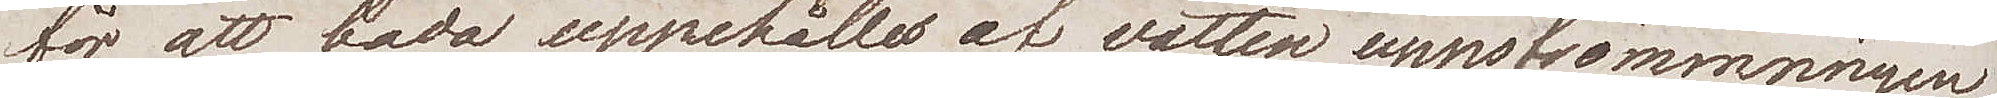för att bada uppehålles af vattenuppströmningen
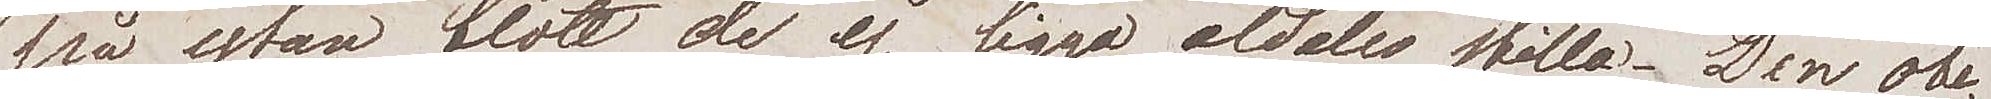på ytan blott de ej ligga aldeles stilla. Den obe¬
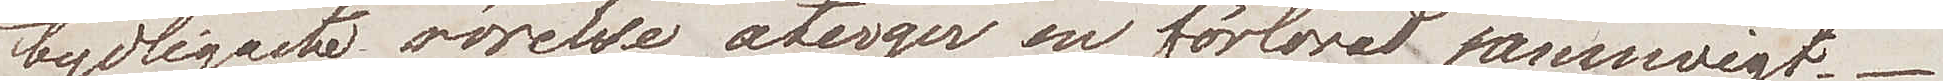tydligaste rörelse återger en förlorad jämnvigt.
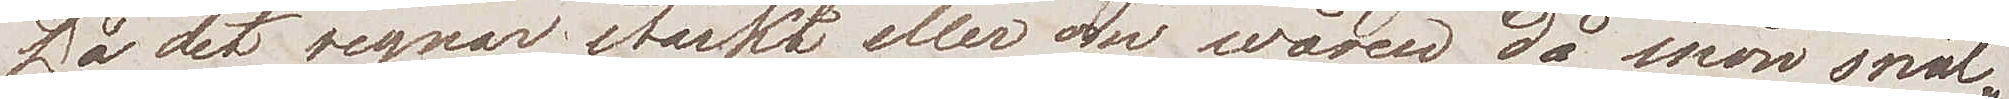Då det regnar starkt eller om våren då snön smäl¬
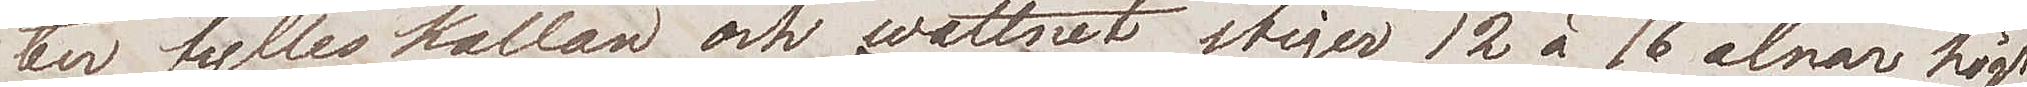ter fylles källan och wattnet stiger 12 à 16 alnar högt
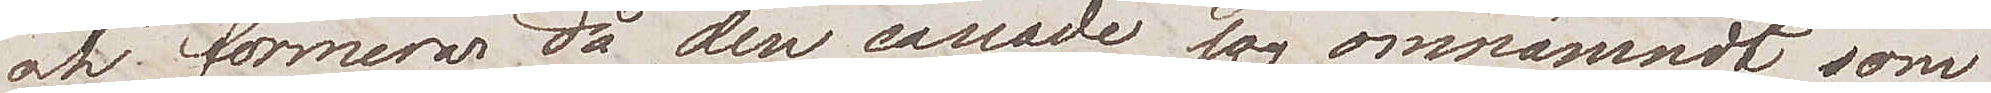och formerar då den cascade jag omnämnt som
